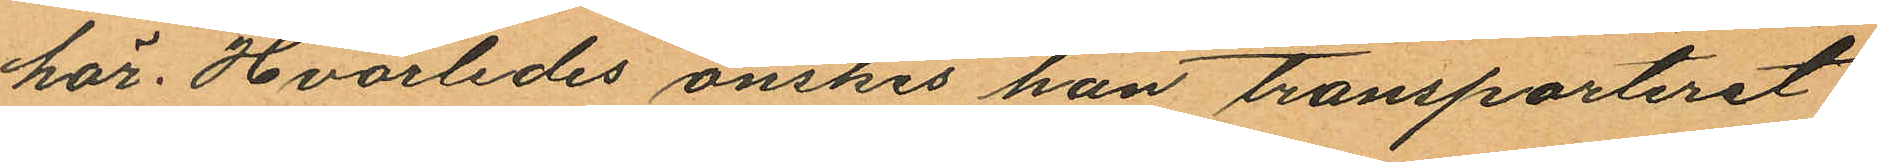här. Hvarledes önskes han transporteret
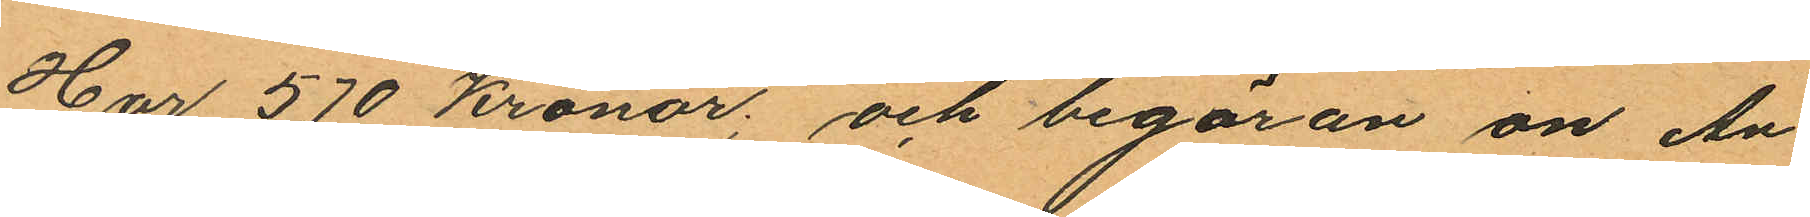Har 570 Kronor; och begäran om An¬
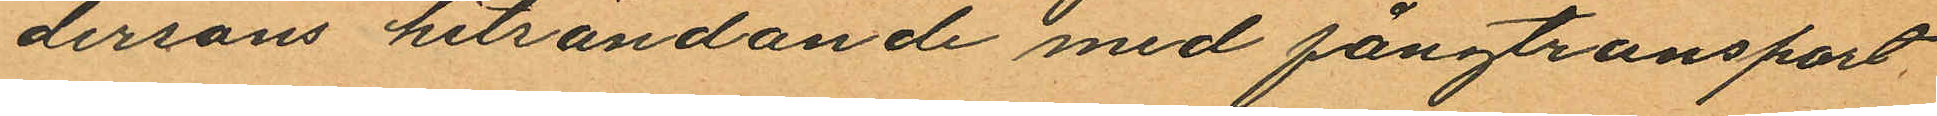dersons hitsändande med fångtransport
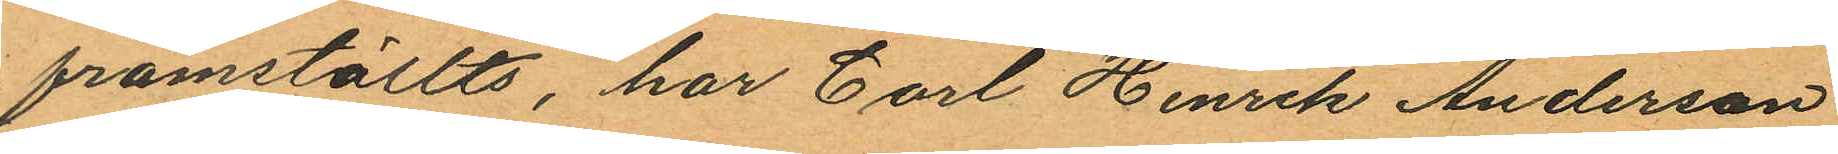framställts, har Carl Henrik Anderson
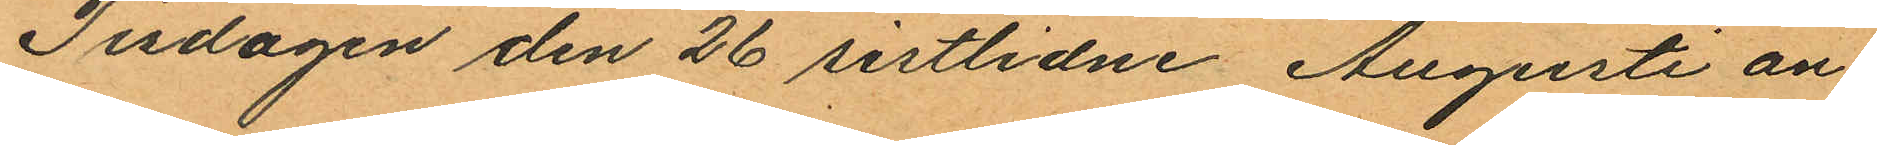Tisdagen den 26 sistlidne Augusti an¬
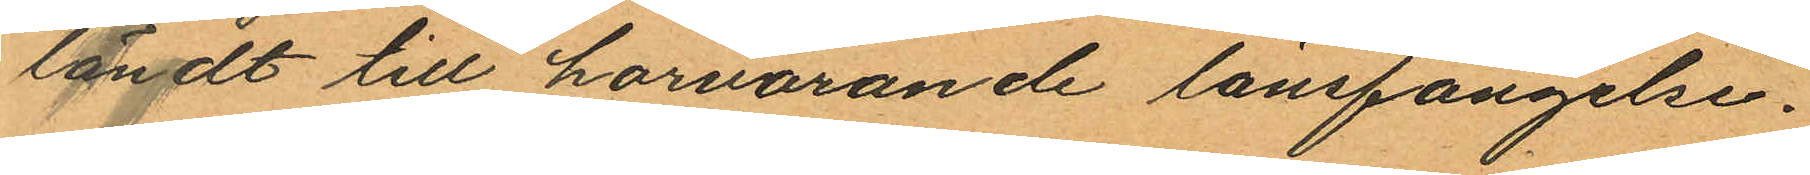ländt till härvarande länsfängelse.
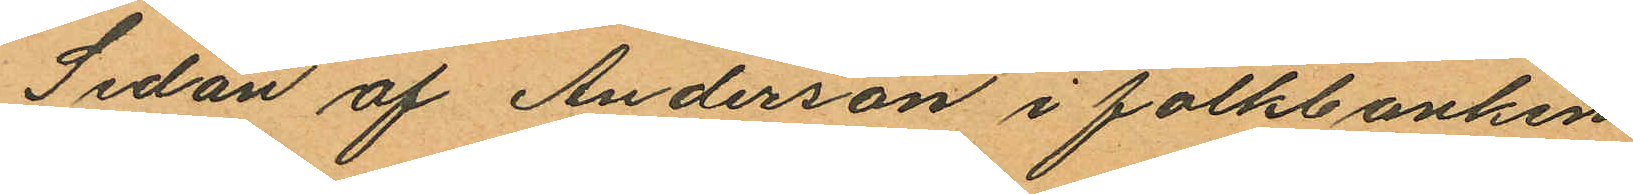Sedan af Anderson i folkbanken
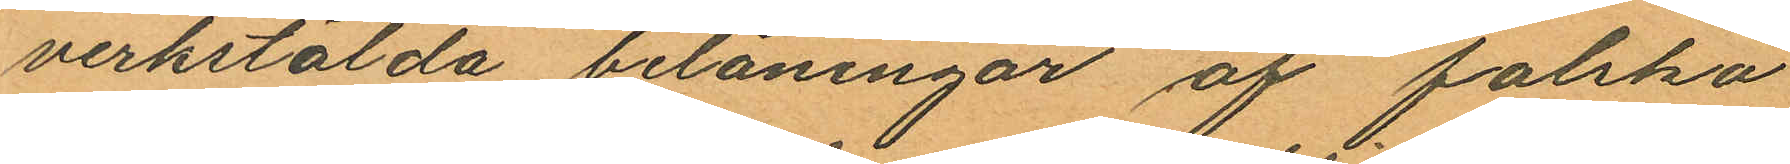verkstälda belåningar af falska
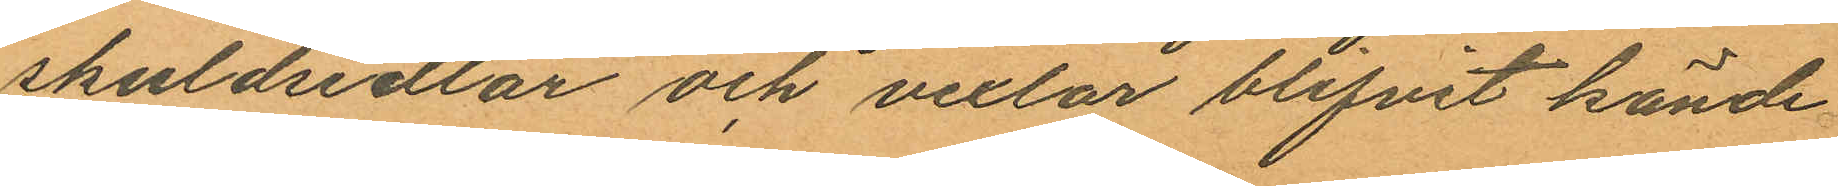skuldsedlar och vexlar blifvit kände
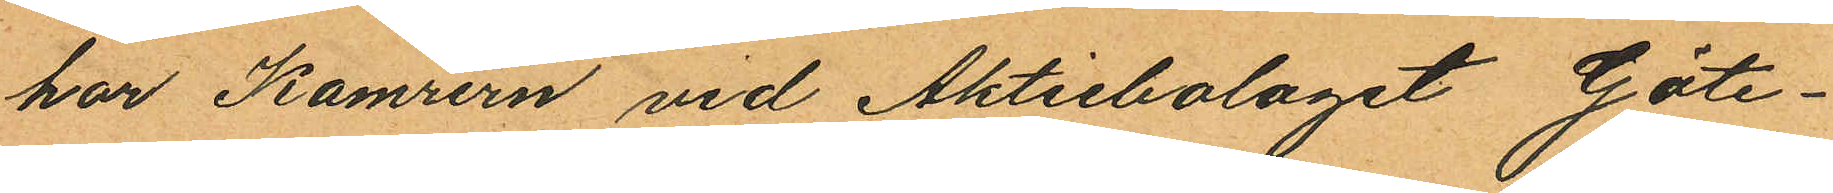har Kamrern vid Aktiebolaget Göte¬
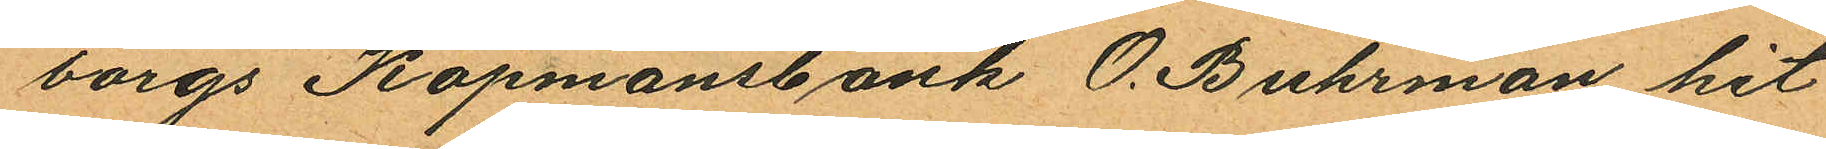borgs Köpmansbank O. Buhrman hit
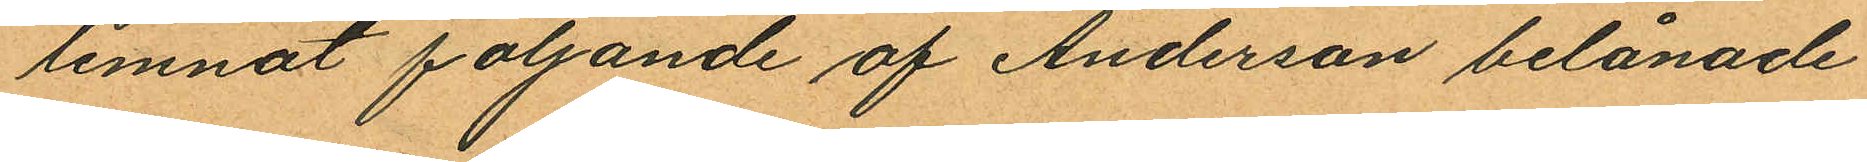lemnat följande af Anderson belånade
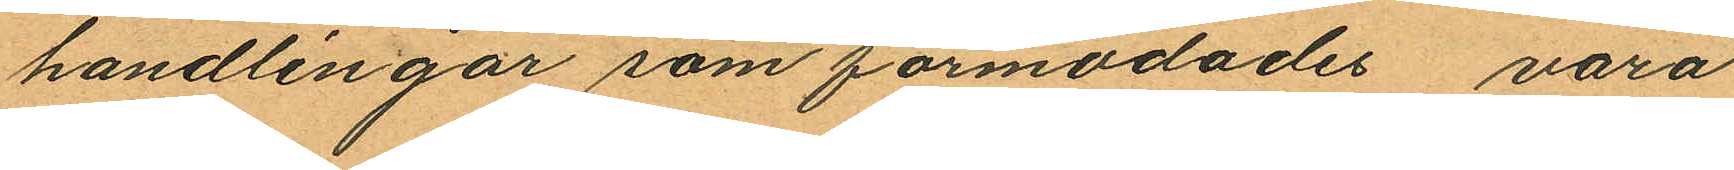handlingar som förmodades vara
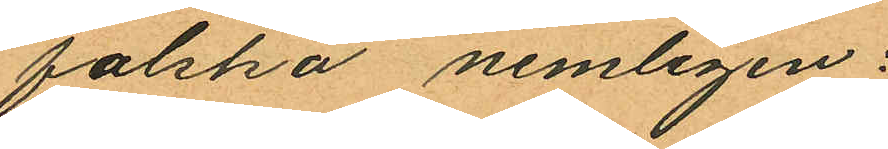falska nemligen:
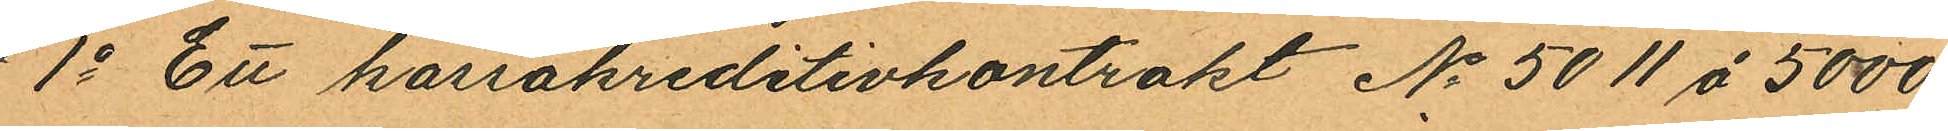1o Ett kassakreditivkontrakt No 5011 å 5000
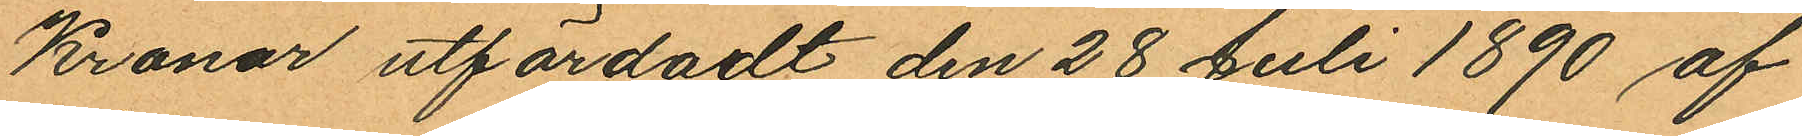Kronor utfärdadt den 28 Juli 1890 af
